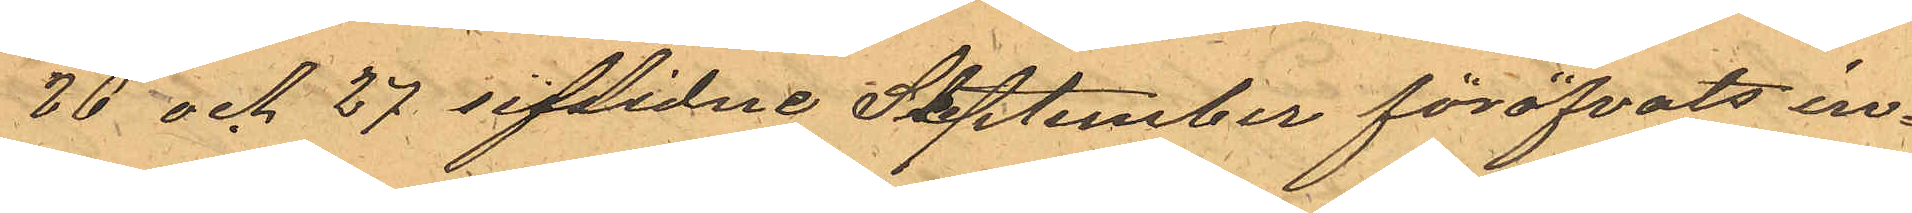20 och 27 sistlidne September föröfvats in¬
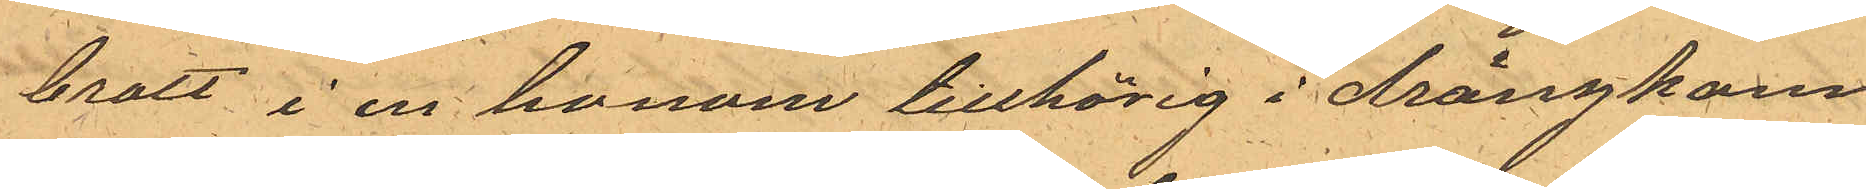brott i en honom tillhörig i drängkam¬
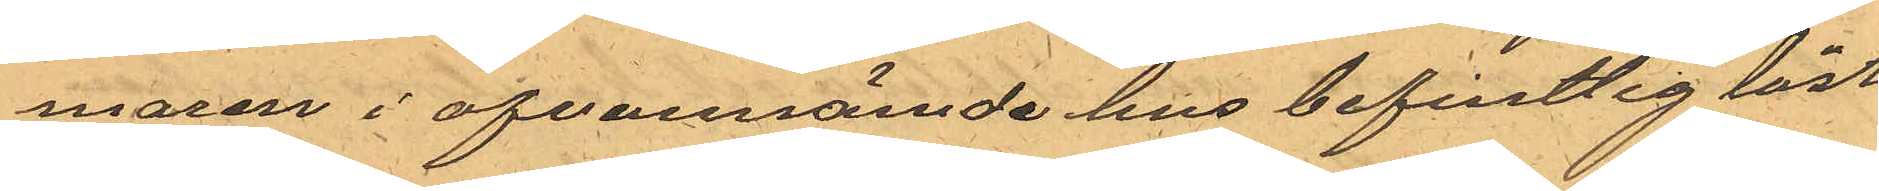maren i ofvannämde hus befintlig låst
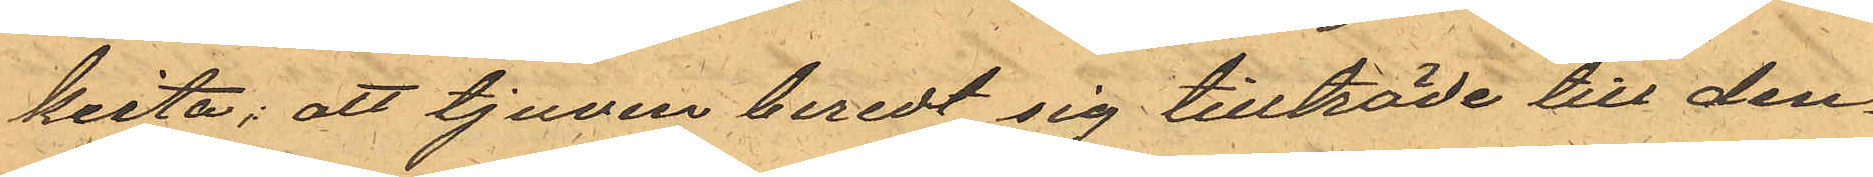kista; att tjuven beredt sig tillträde till den¬
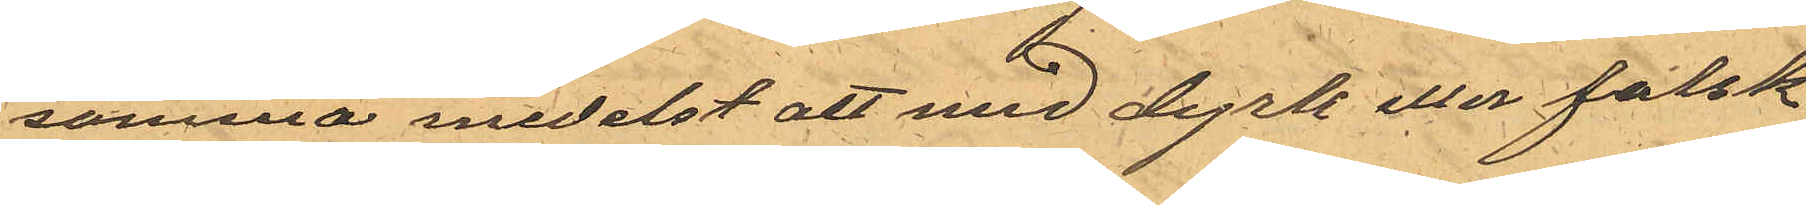samma medelst att med dyrk eller falsk
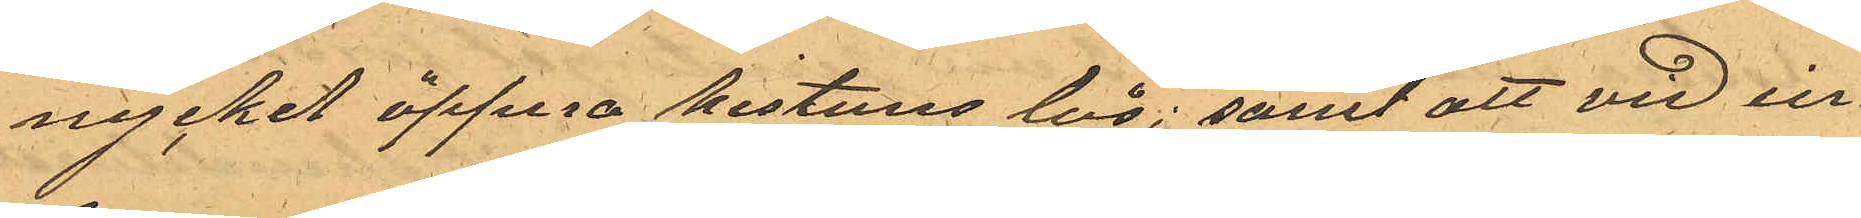nyckel öppna kistans lås; samt att vid in¬
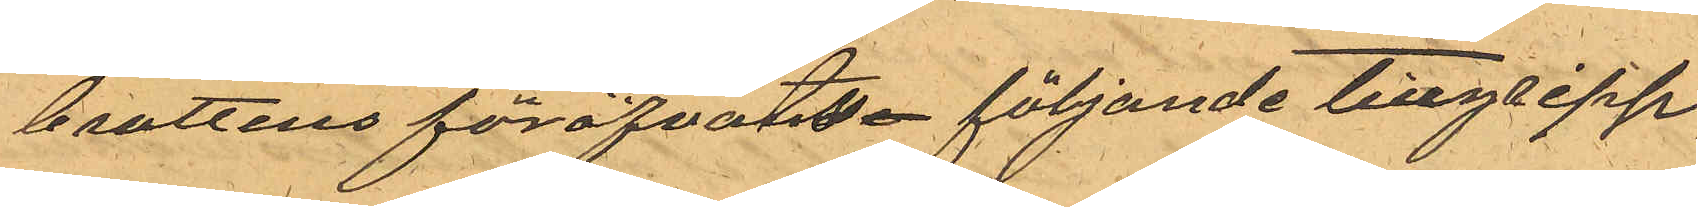brottens föröfvats följande tillgrepp,
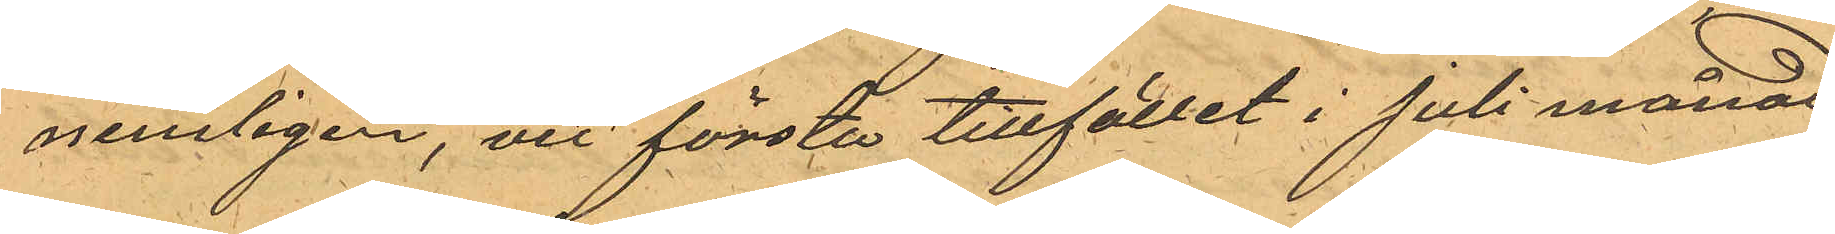nemligen, vid första tillfället i Juli månad
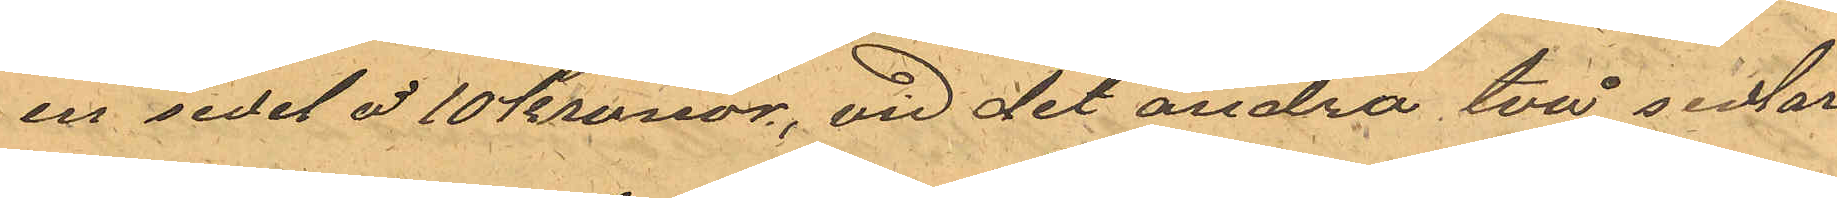en sedel å 10 kronor, vid det andra två sedlar
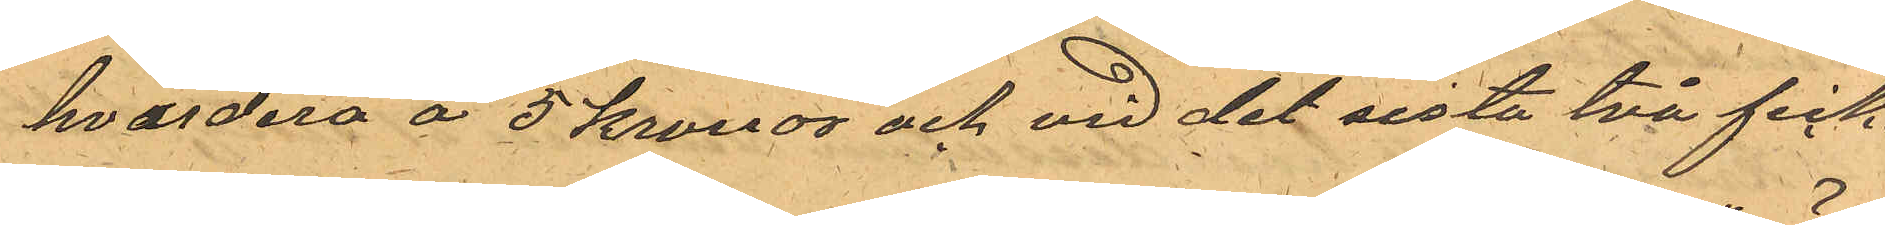hvardera å 5 kronor och vid det sista två fick¬
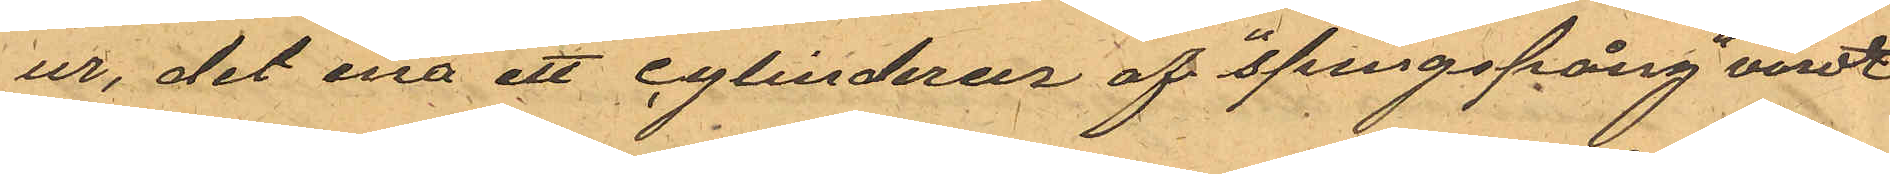ur, det ena ett cylinderur af "springspång" värde
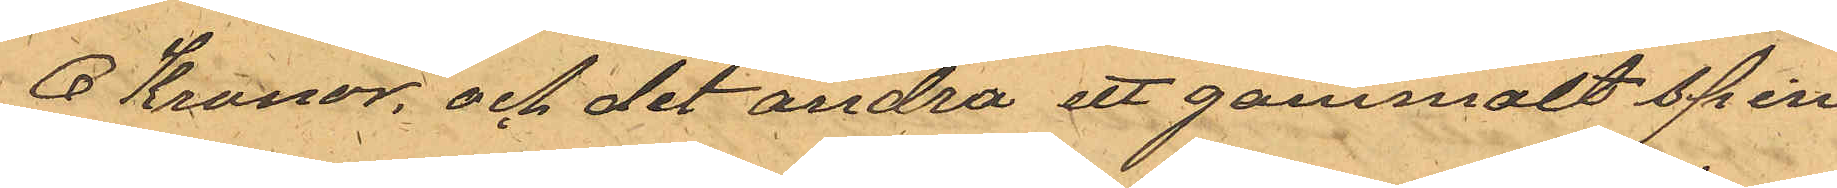6 Kronor och det andra ett gammalt spin¬
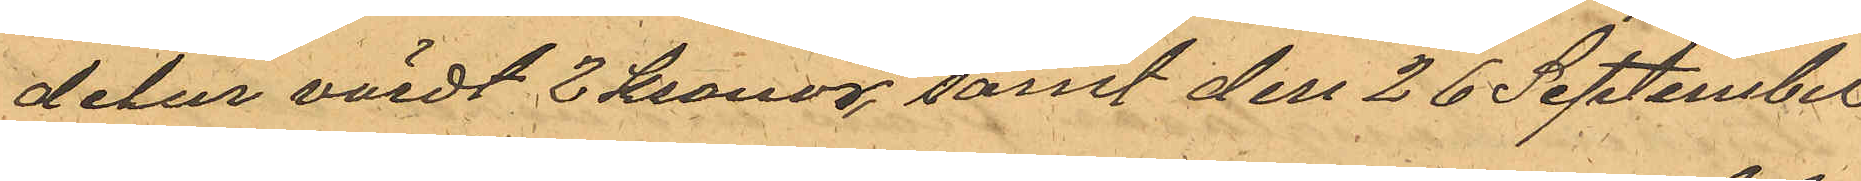delur värdt 2 Kronor, samt den 26 September
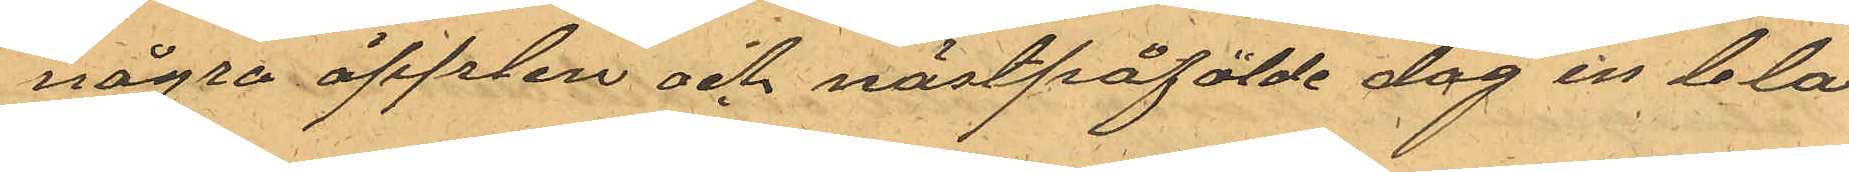några äpplen och nästpåfölde dag in blå
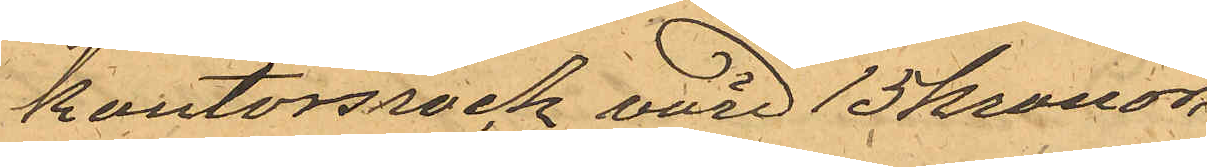kontorsrock värd 15 kronor.
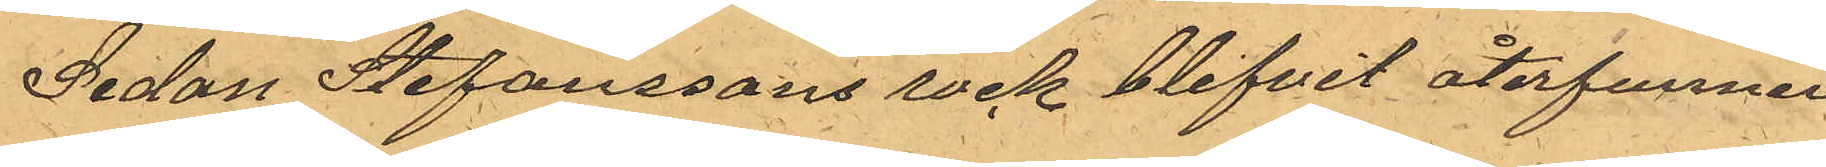Sedan Stefanssons rock blifvit återfunnen
